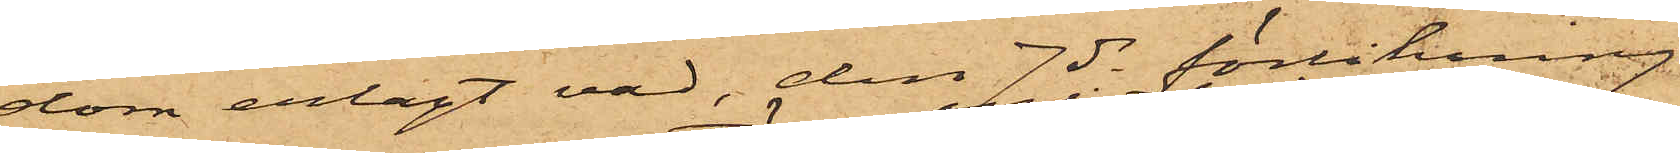dom anlagt vad, den 7 ds förliknng
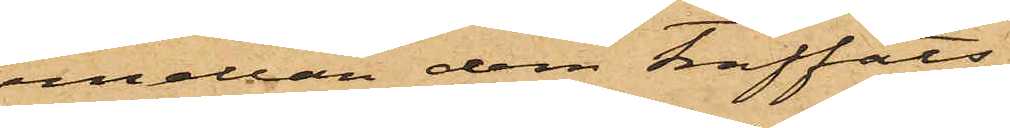mellan dem träffats,
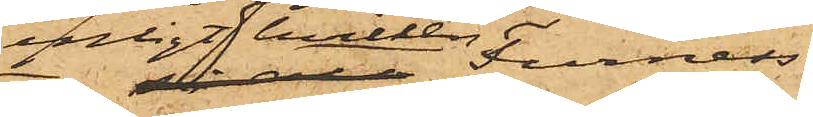enligt hvilken Furness
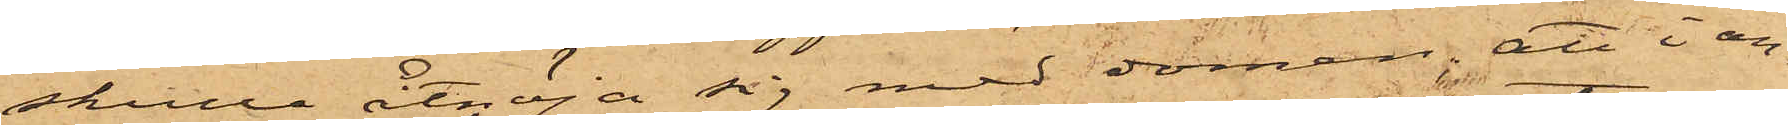skulle åtnöja sig med domen; att i an¬
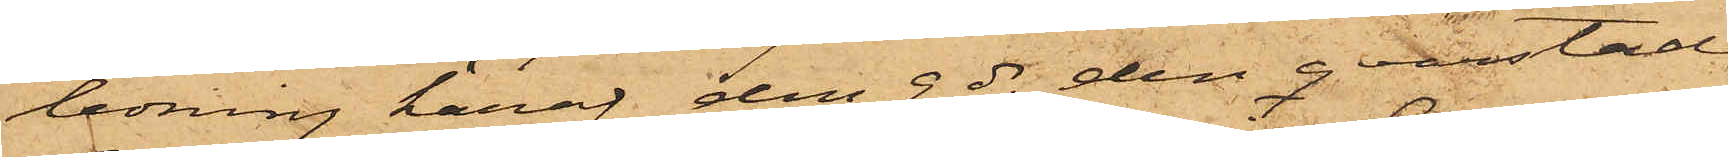ledning häraf den 9 ds den qvarstad,
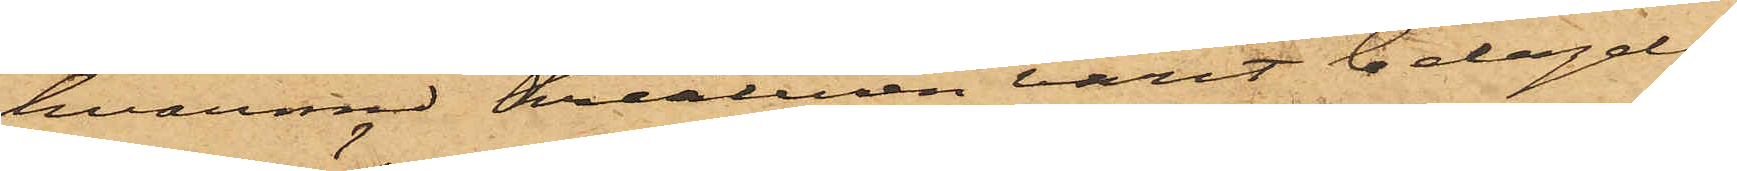hvarmed kreaturen varit belagde,
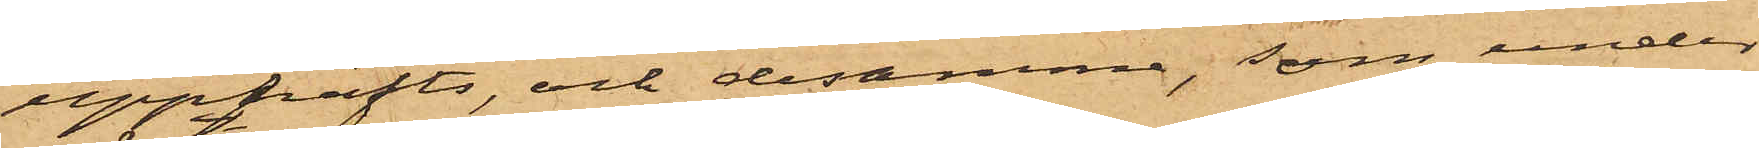upphäfts, och desamma, som under
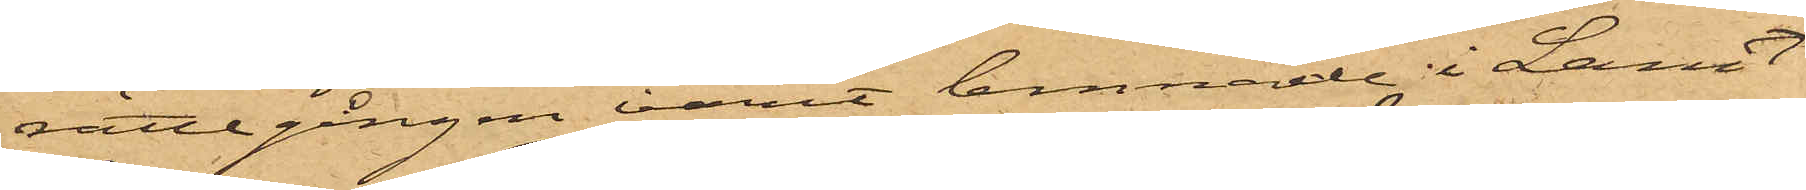rättegången varit lemnade i Lant¬
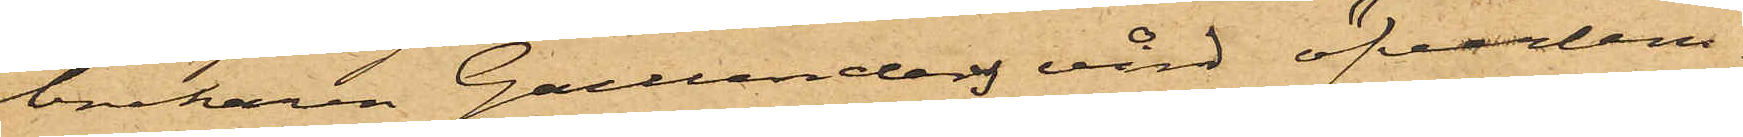brukaren Gullanders vård öfverlem¬
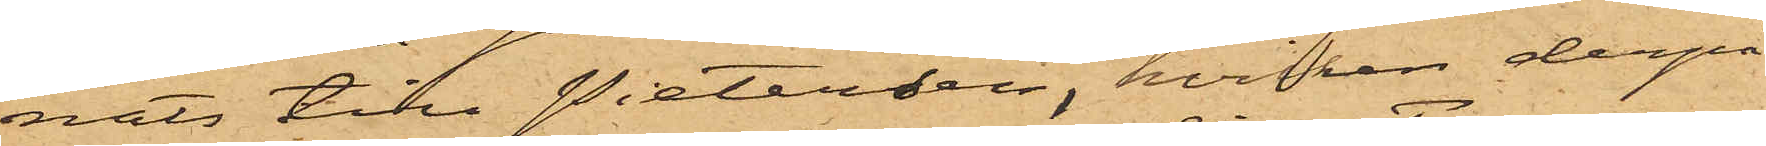nats till Pietersen, vilken derpå
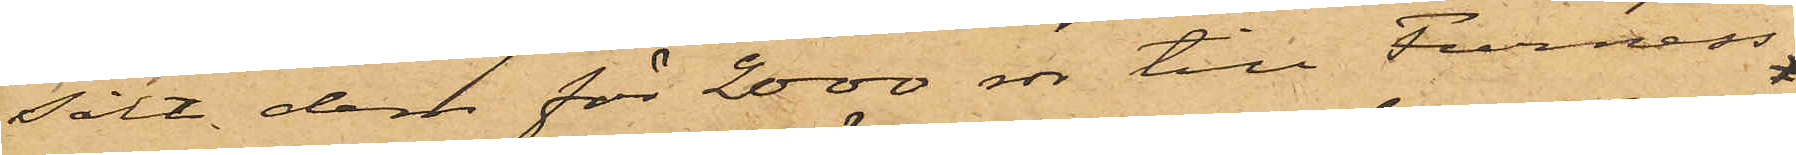sålt dem för 2000 rdr till Furness
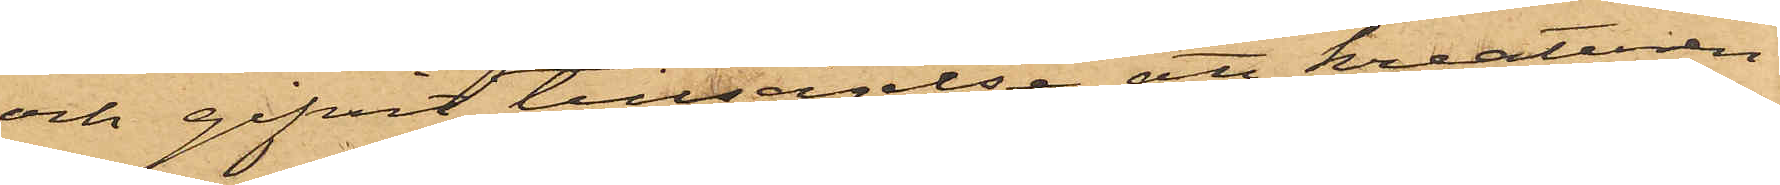och gifvit tillsägelse att kreaturen
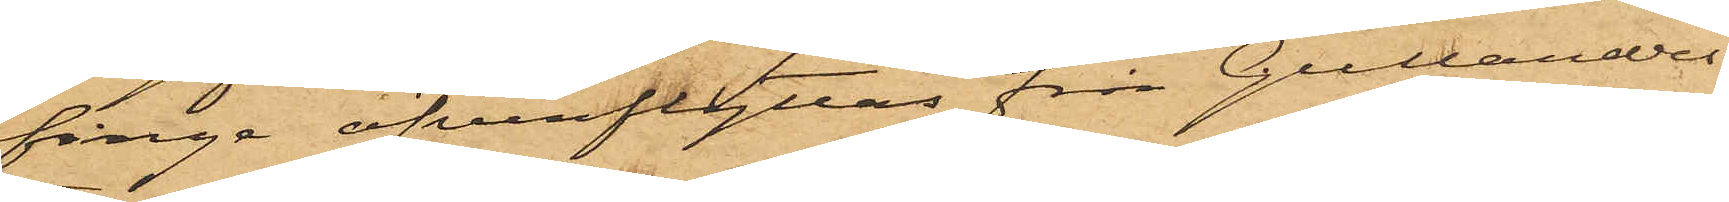finge öfverflyttas från Gullanders
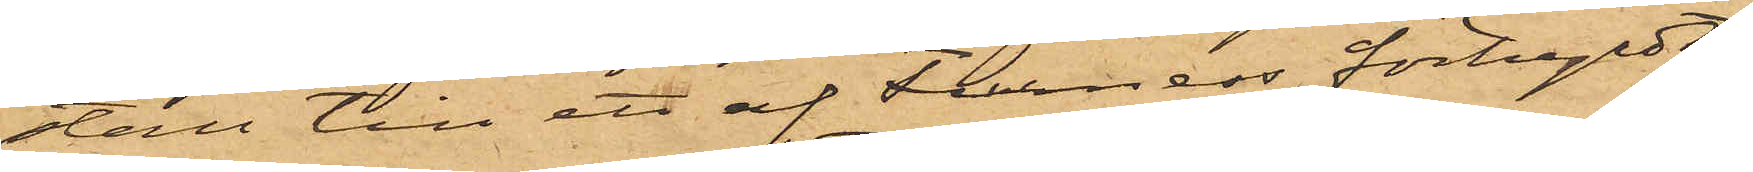stall till ett af Furness förhyrdt;
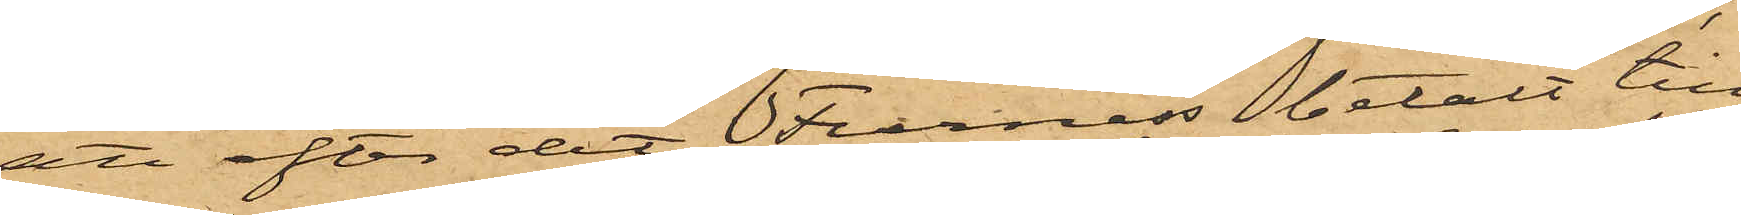att efter det Furness betalt till
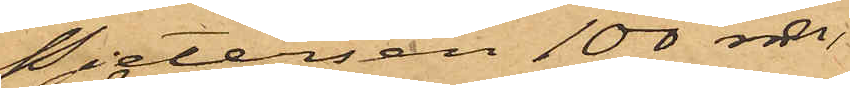Pietersen 100 rdr,
